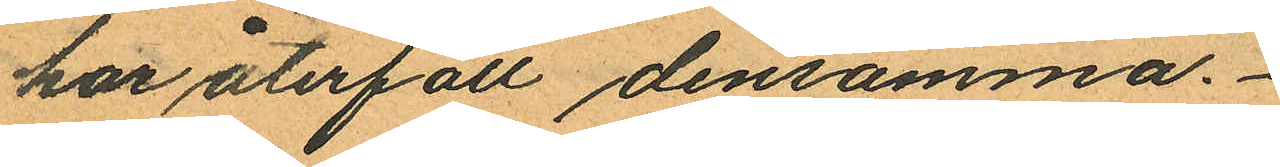har återfått densamma.
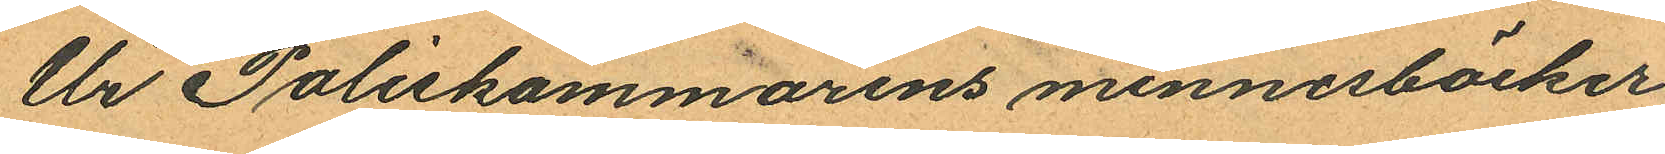Ur Poliskammarens minnesböcker
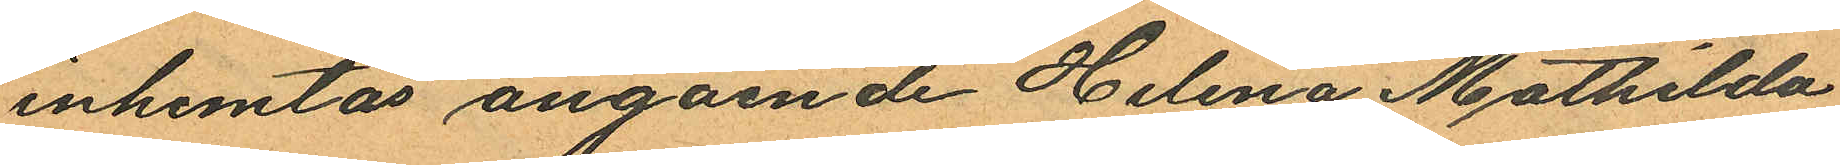inhemtas angående Helena Mathilda
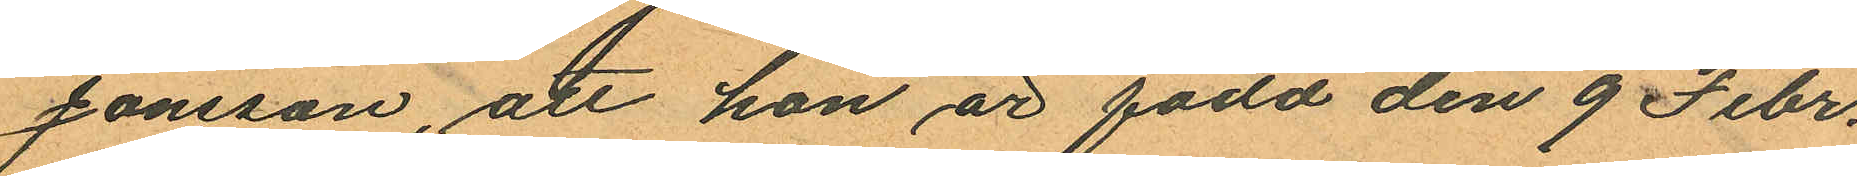Jonsson, att hon är född den 9 Febr.
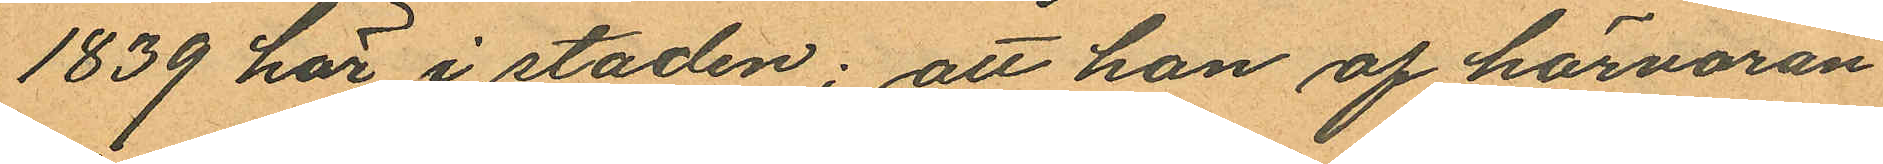1839 här i staden; att hon af härvaran¬
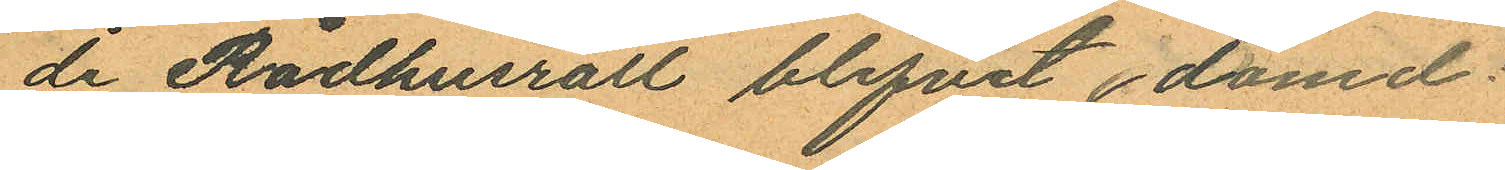de Rådhusrätt blifvit domd:
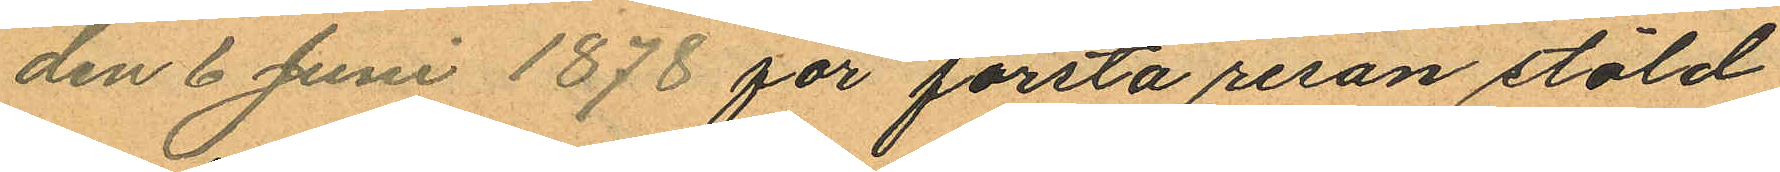den 6 Juni 1878 för första resan stöld
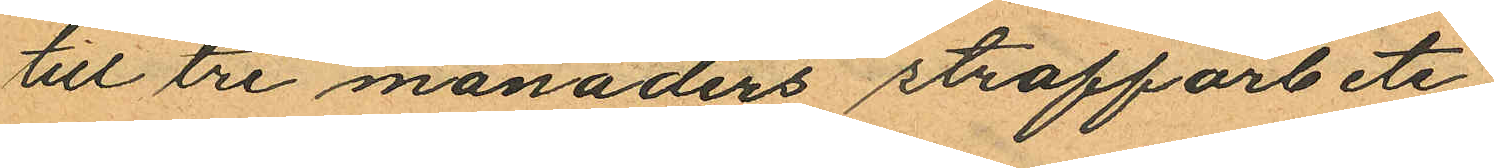till tre månaders straffarbete;
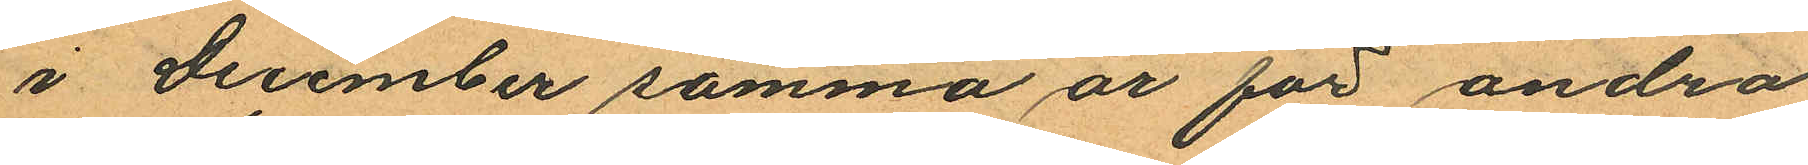i December samma år för andra
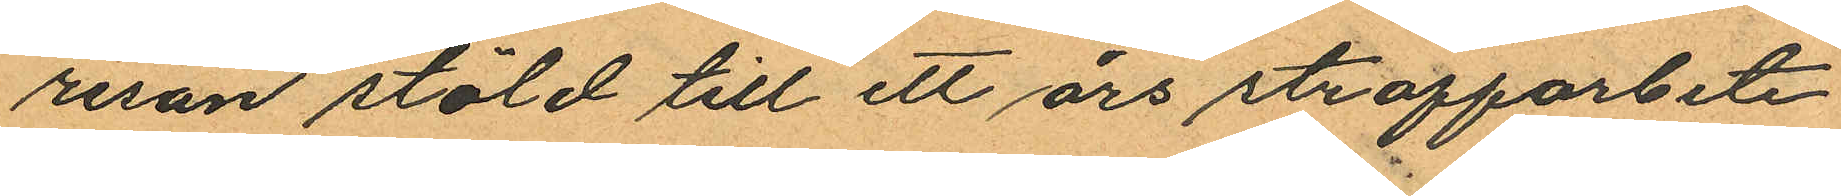resan stöld till ett års straffarbete
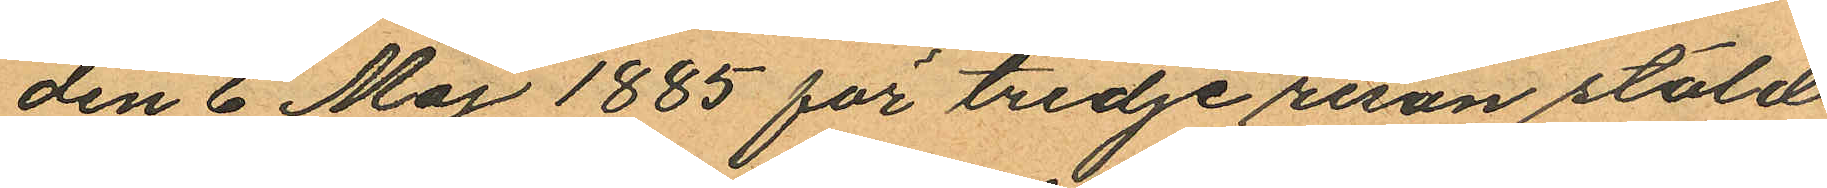den 6 Maj 1885 för tredje resan stöld
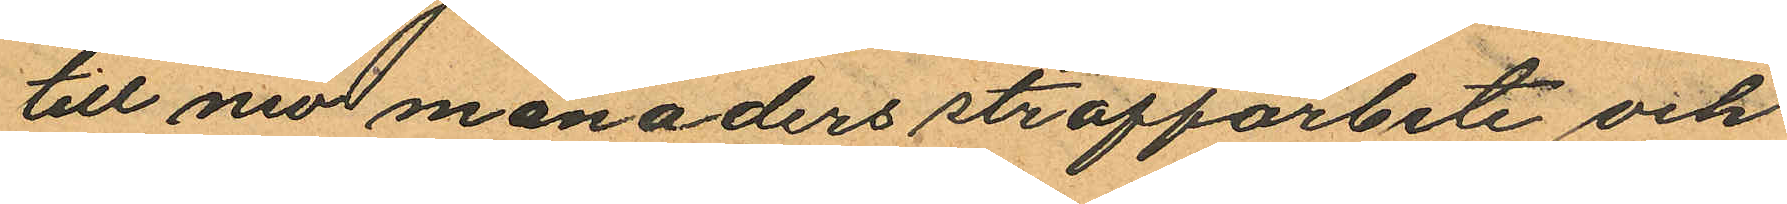till nio månaders straffarbete och
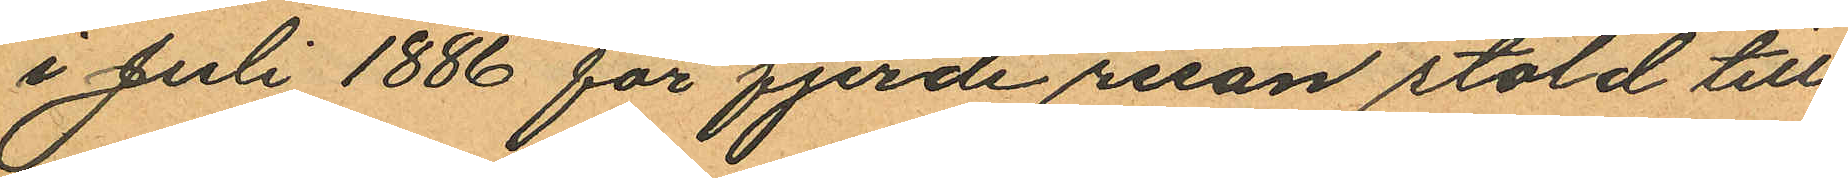i Juli 1886 för fjerde resan stöld till
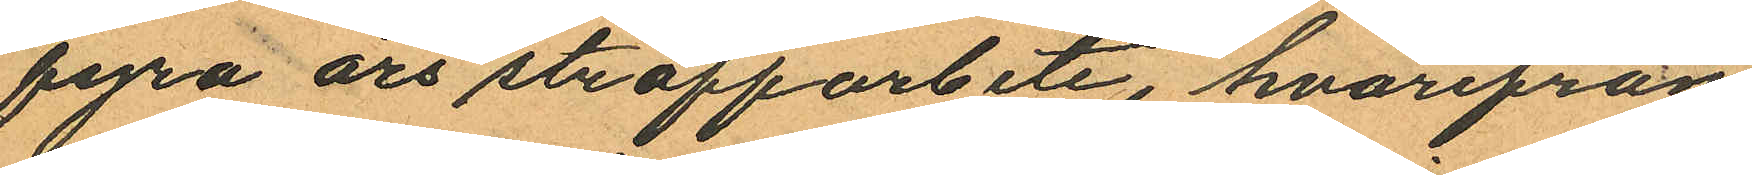fyra års straffarbete, hvarifrån
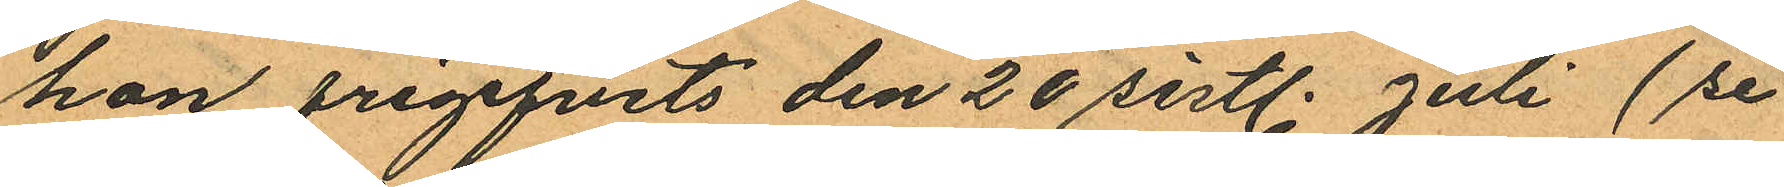han öregifvits den 20 sistl. Juli (se
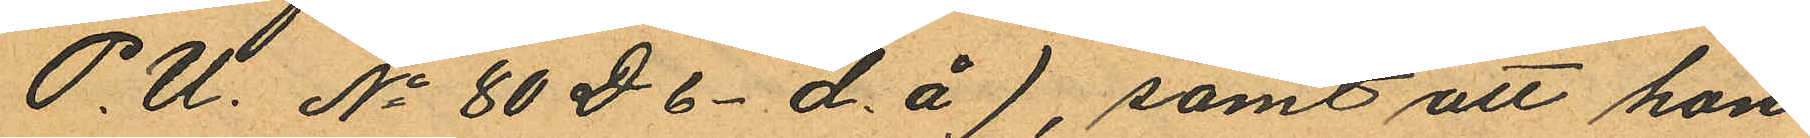P. U. No 80 D 6- d. å), samt att hon
